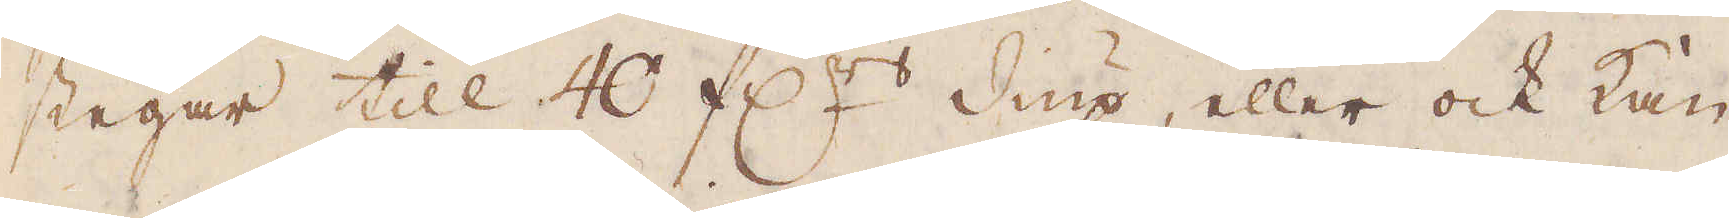stegar till 40 f:rs diup, eller ock kan
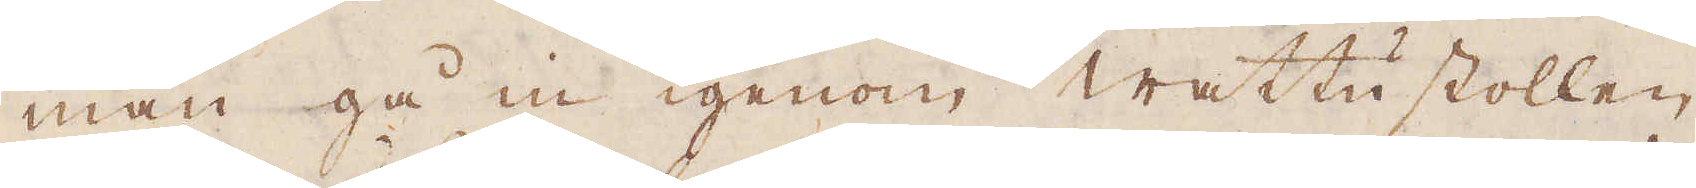man gå in igenom wattu stollen,
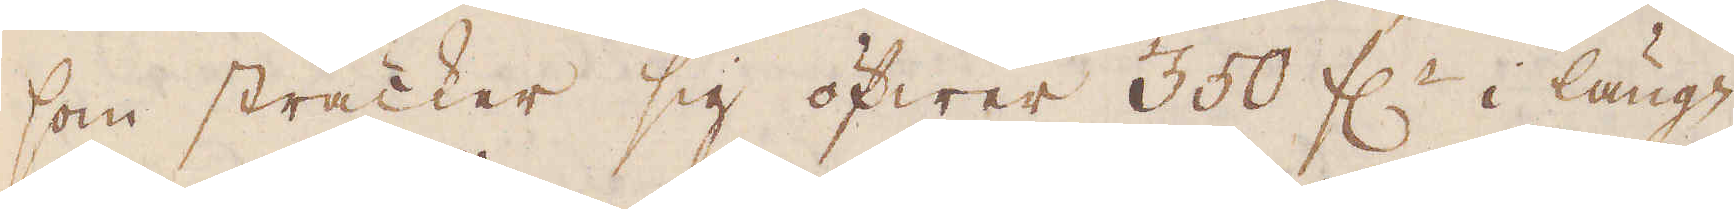som sträcker sig öfwer 350 f:r i läng-
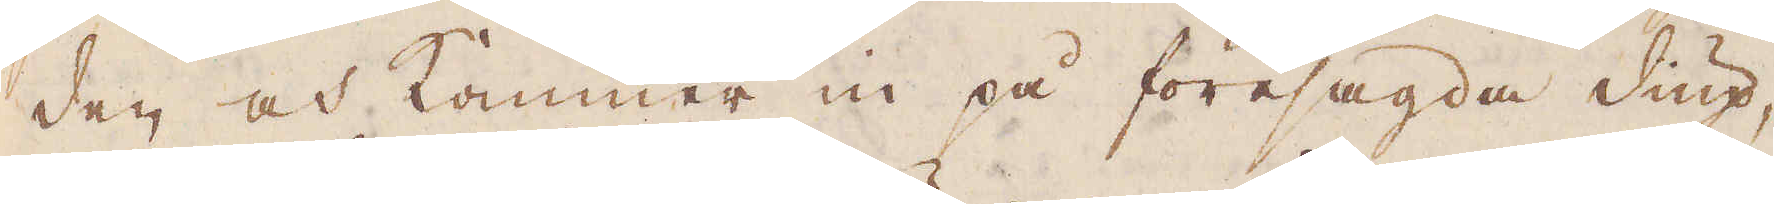den och kommer in på föresagda diup,
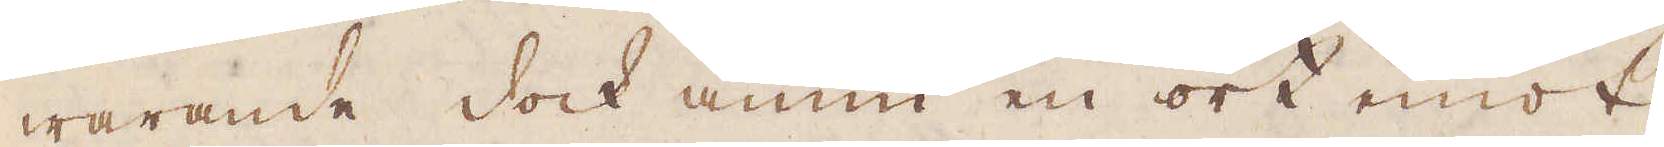warande dock ännu en ort emot
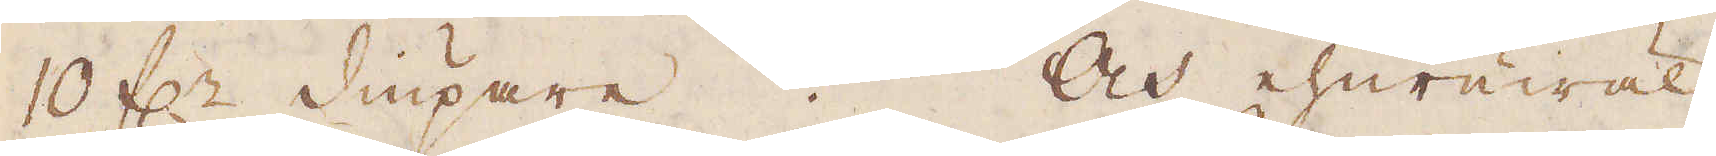10 f:r diupare. Och ehuruwäl
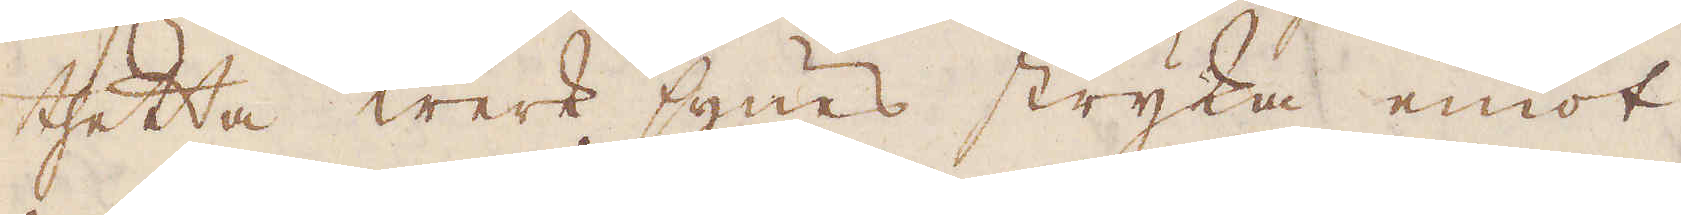thetta werk synes stryka emot
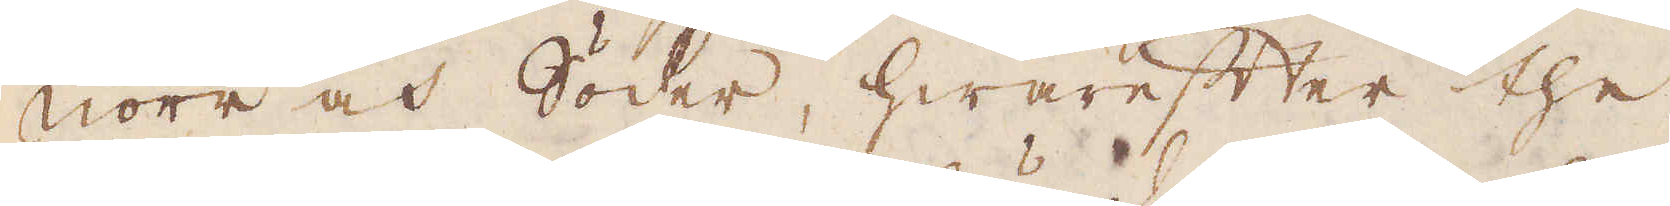Norr och Söder, hwarefter the
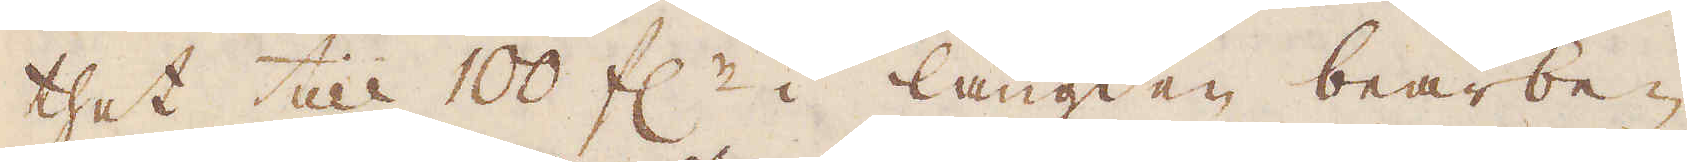thet till 100 f:r i längden bearbe-
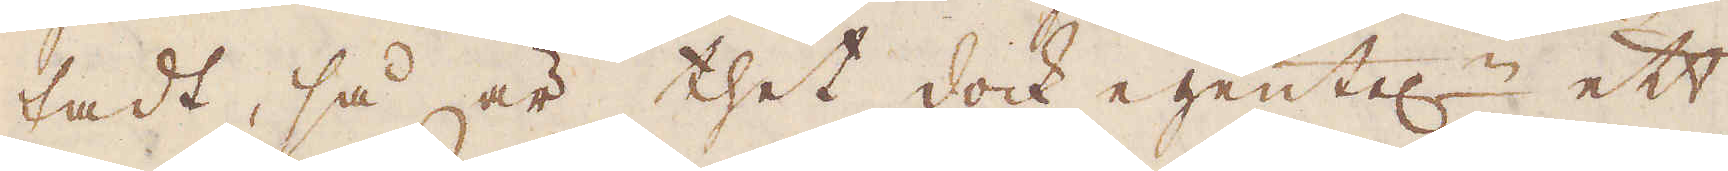tadt, så är thet dock egentel:n ett
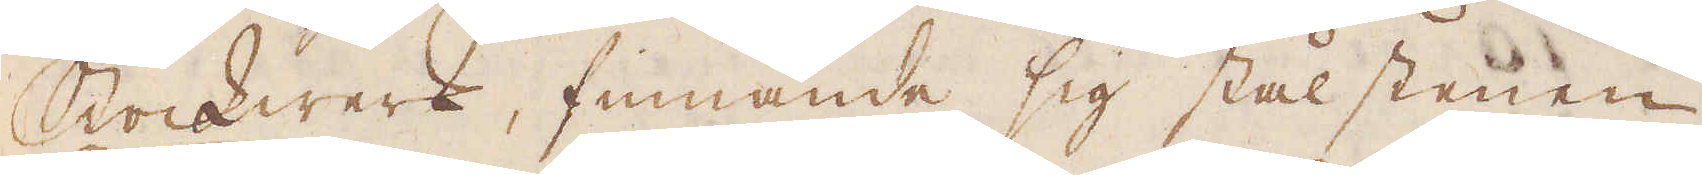Stockwerk, finnande sig stålstenen
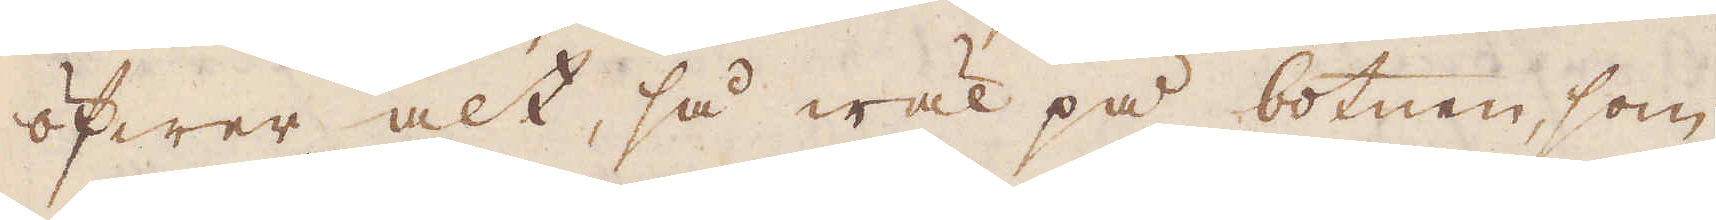öfwer alt, så wäl på botnen, som
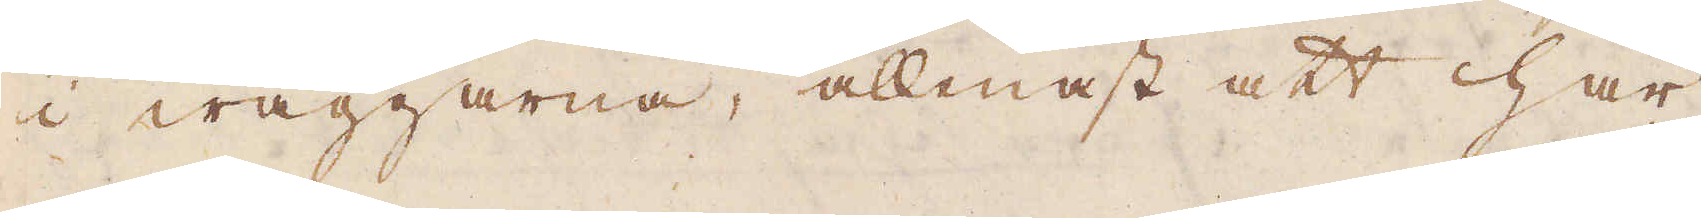i wäggarna, allenast att här
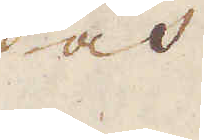och
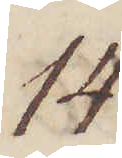149.
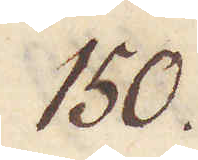150.
